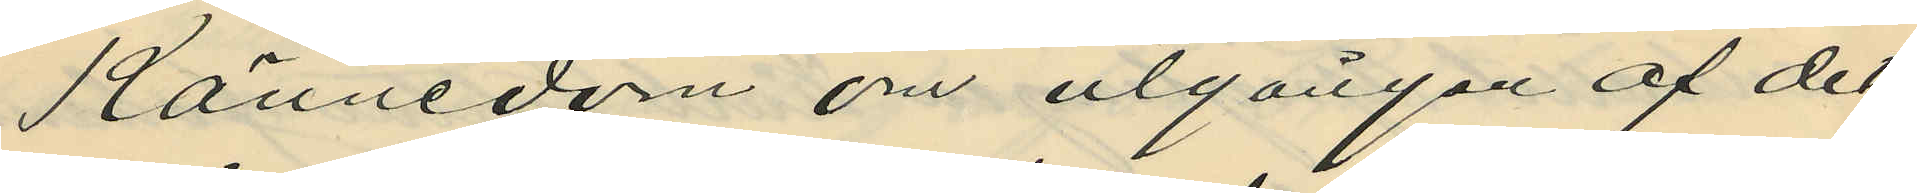Kännedom om utgången af det
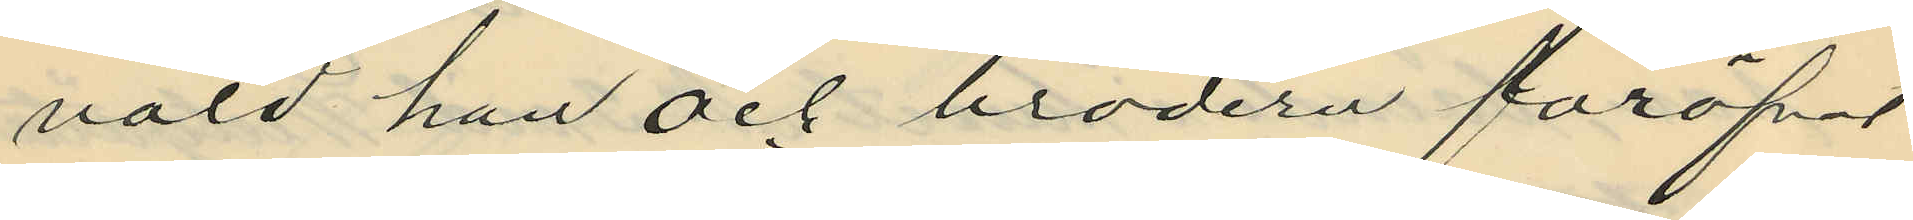våld han och brodern föröfvat
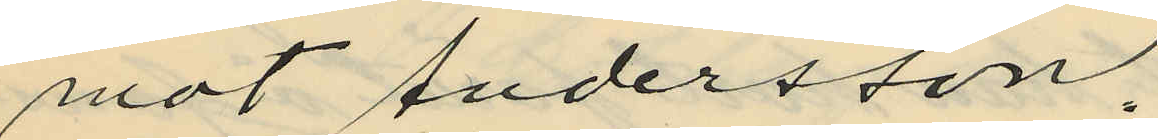mot Andersson.
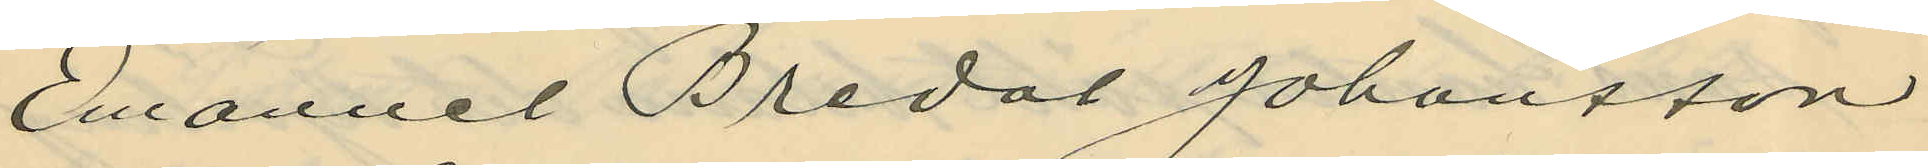Emanuel Bredal Johansson
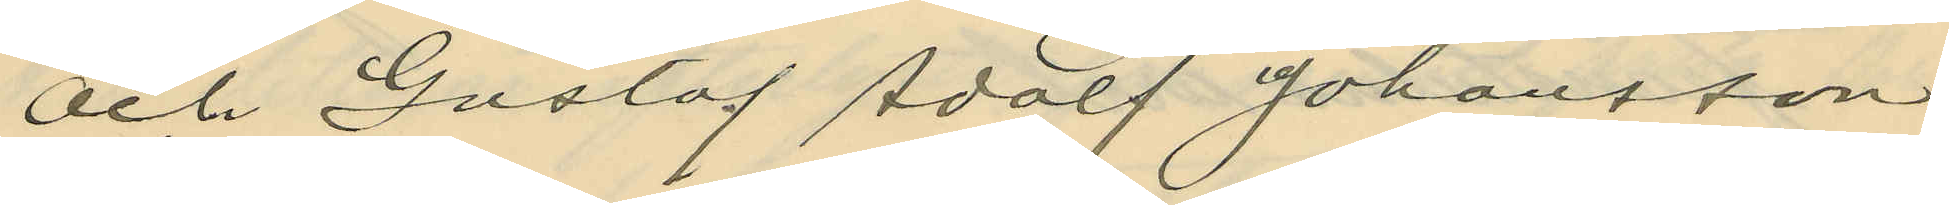och Gustaf Adolf Johansson
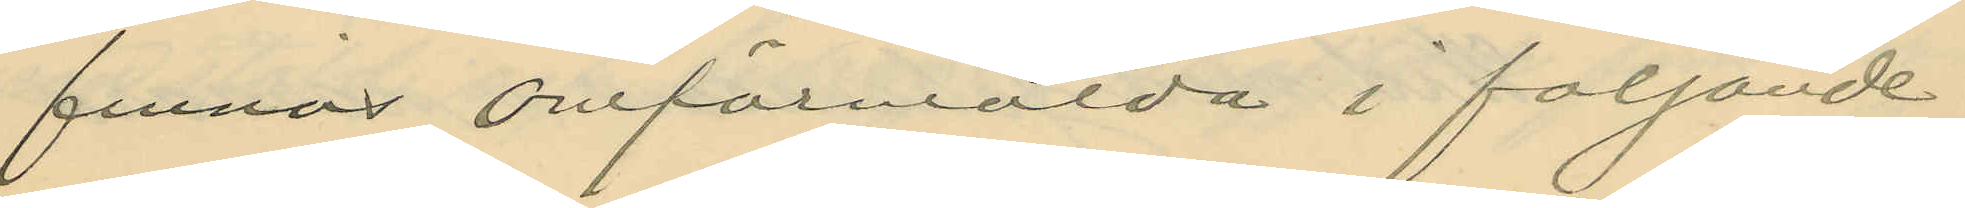finnas omförmälda i följande
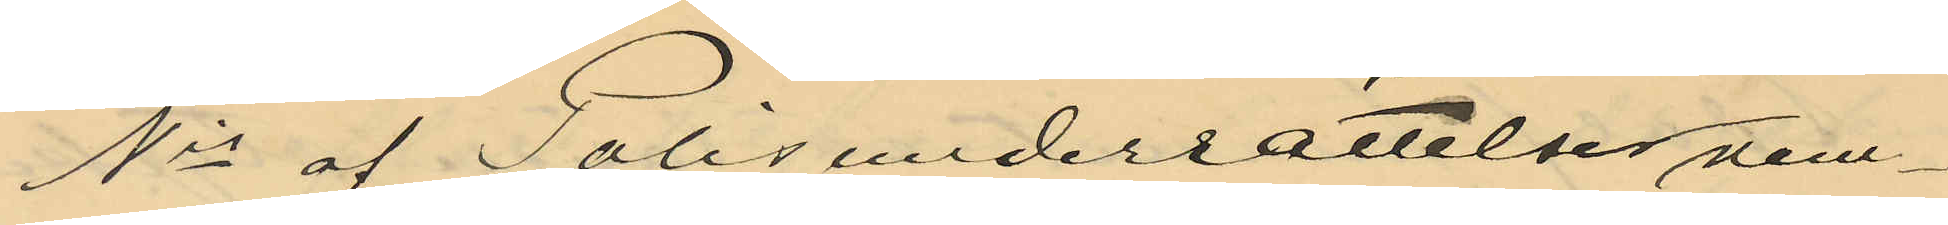Nis af Polisunderrättelser nem¬
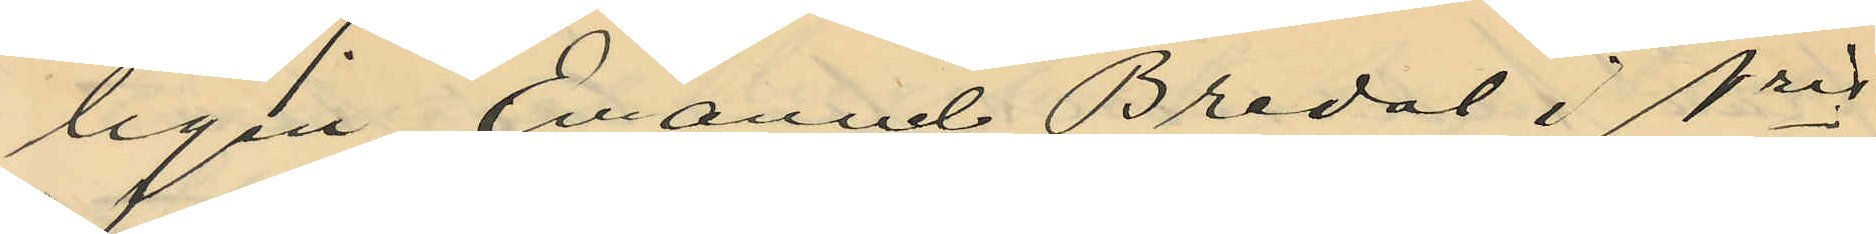ligen Emanuel Bredal i Nris
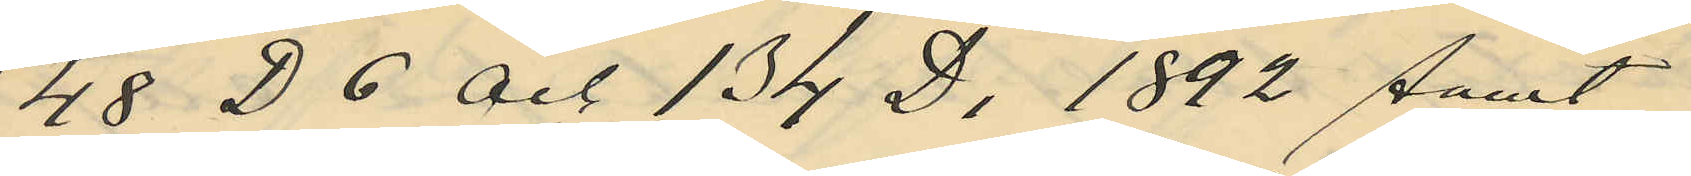48 D 6 och 134 D, 1892 samt
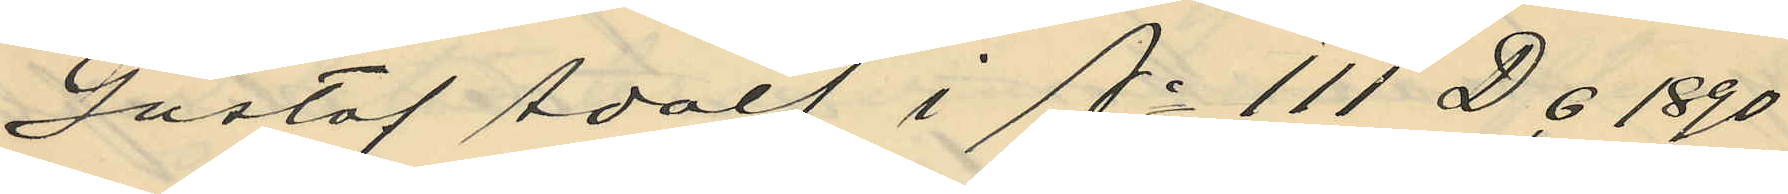Gustaf Adolf i A. 111 D 6 1890.
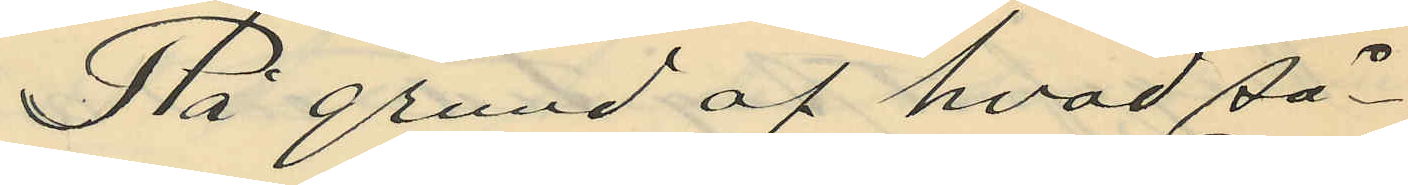På grund af hvad så¬
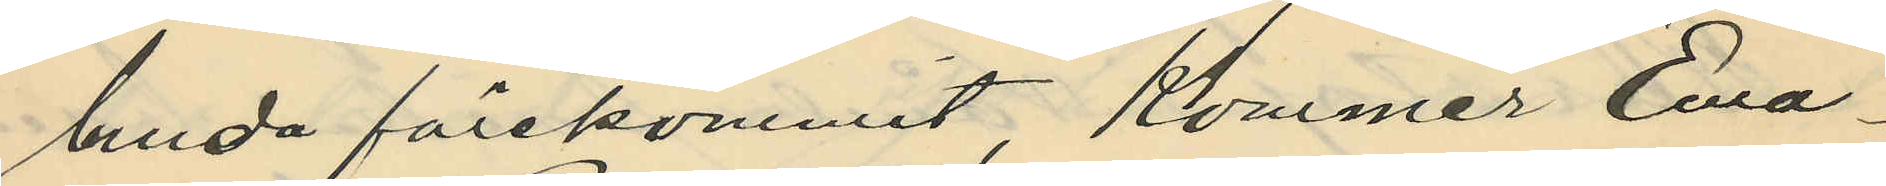lunda förekommit, Kommer Ema¬
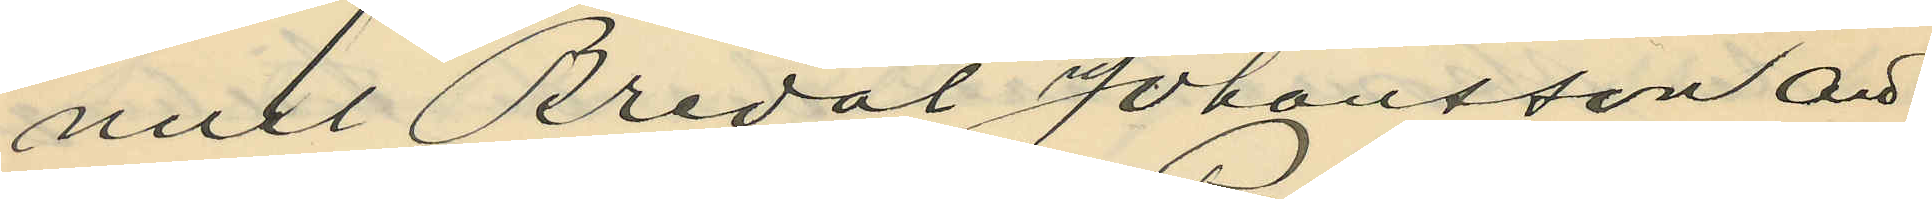nuel Bredal Johansson att
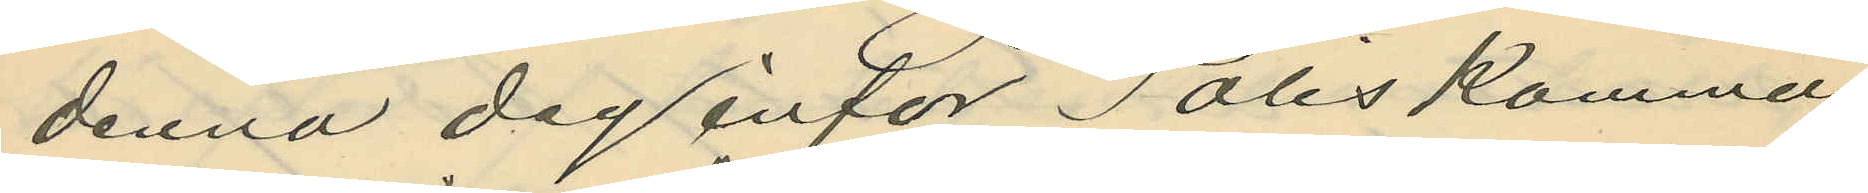denna dag inför Polis kamma¬
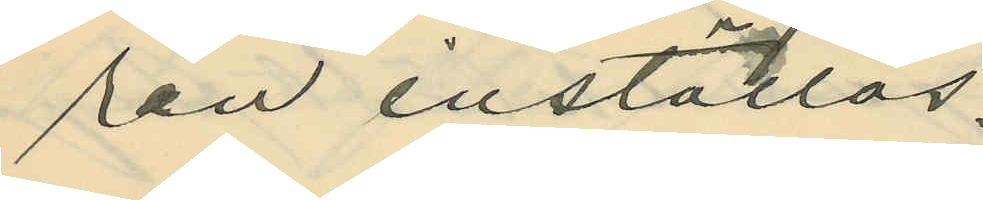ren inställas.
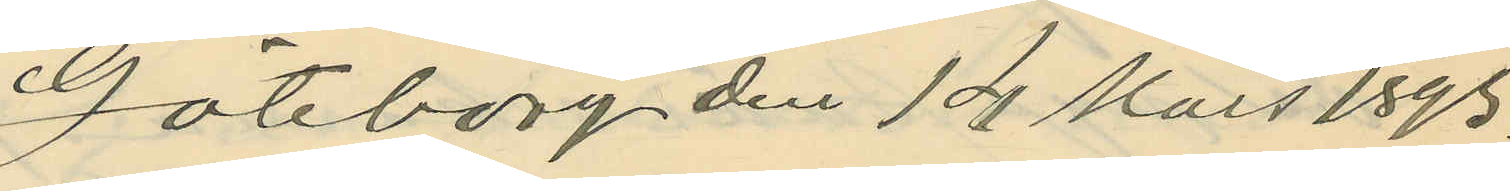Göteborg den 14 Mars 1893.
